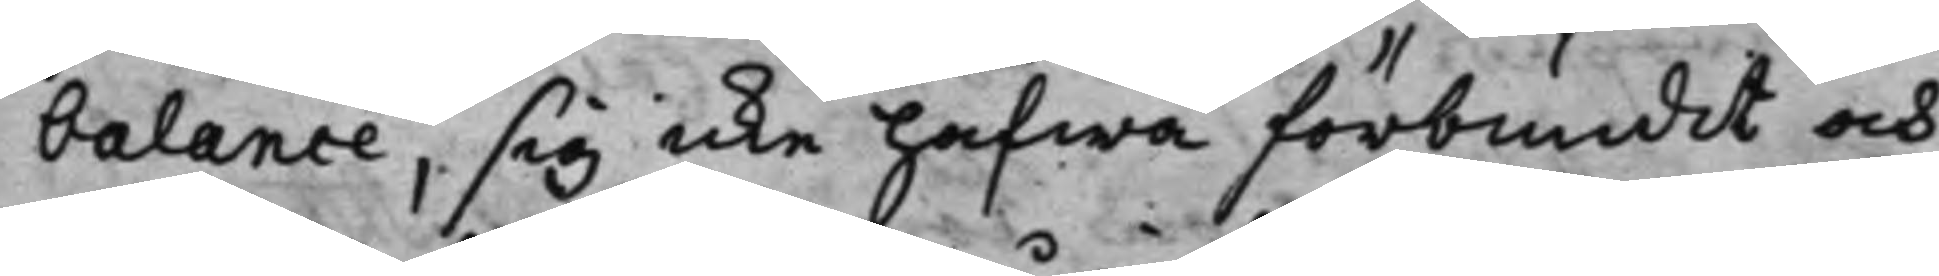balance, sig icke hafwa förbundit och
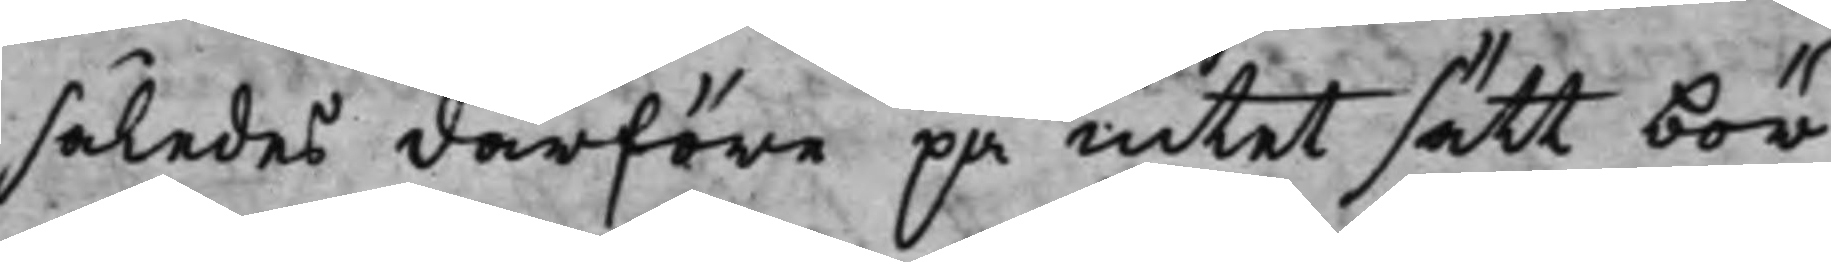således derföre på intet sätt bör
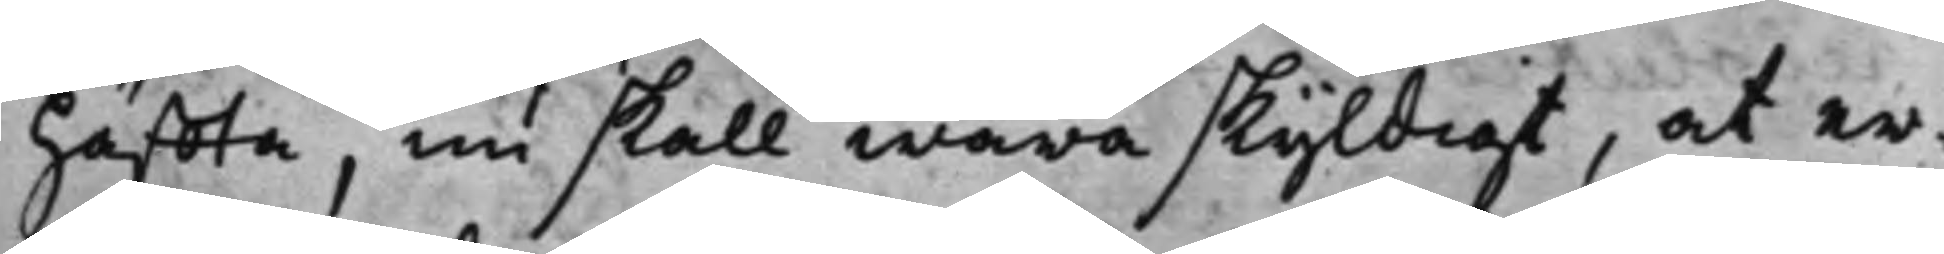häffta, nu skall wara skyldigt, at er¬
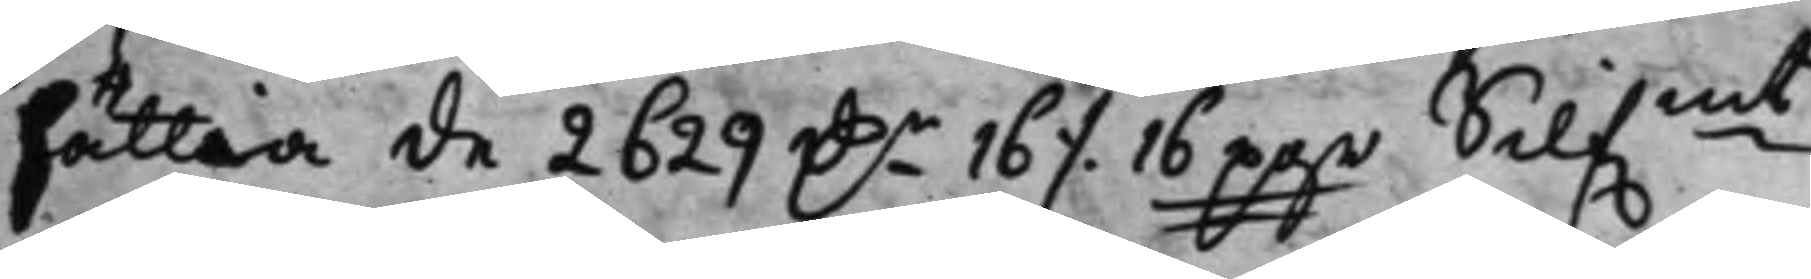sättia de 2629 D.r 16 ./. 16 pgr Silf.mt,
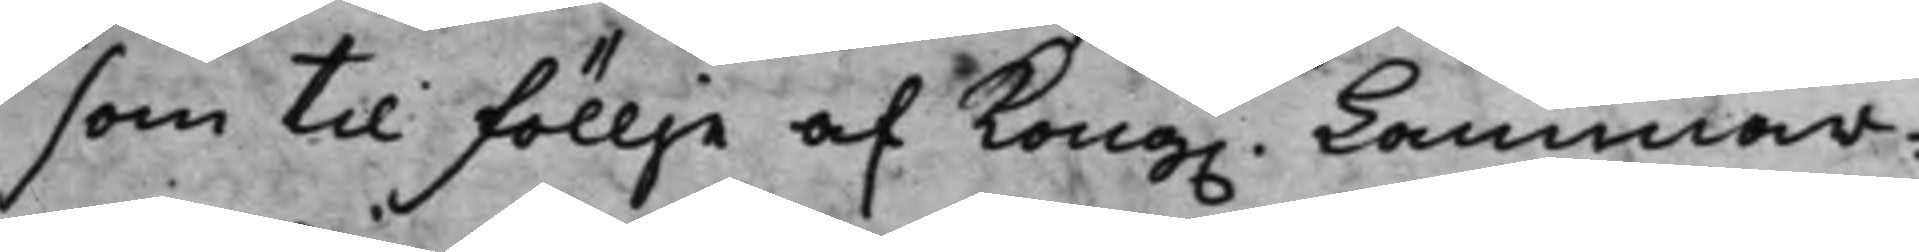som til föllje af Kong. Cammar¬
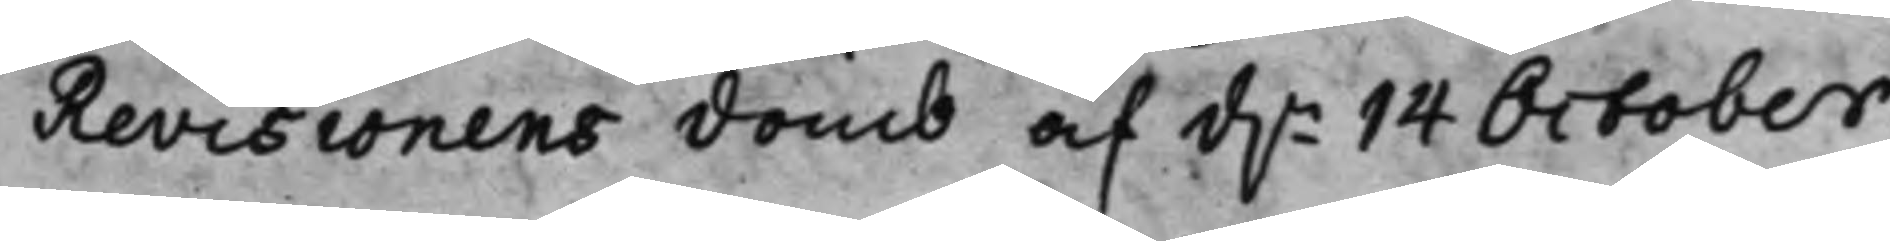Revisionens domb af d.n 14 October
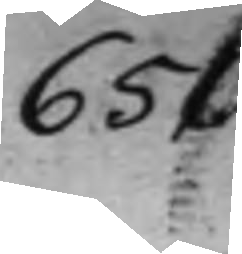651.
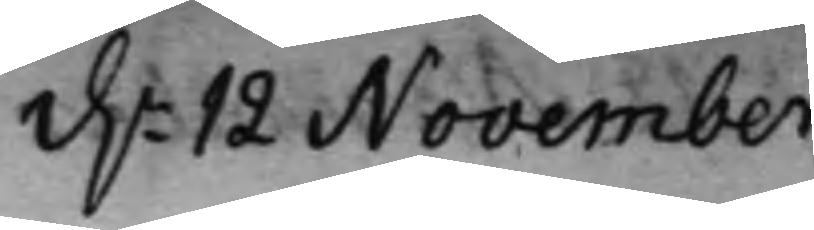d.n 12 November
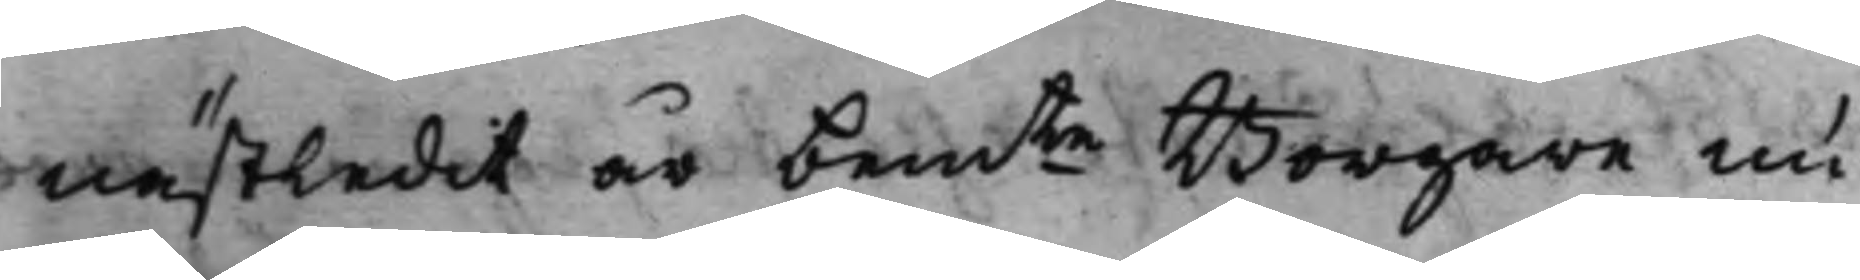nästledit år bemte Borgare nu
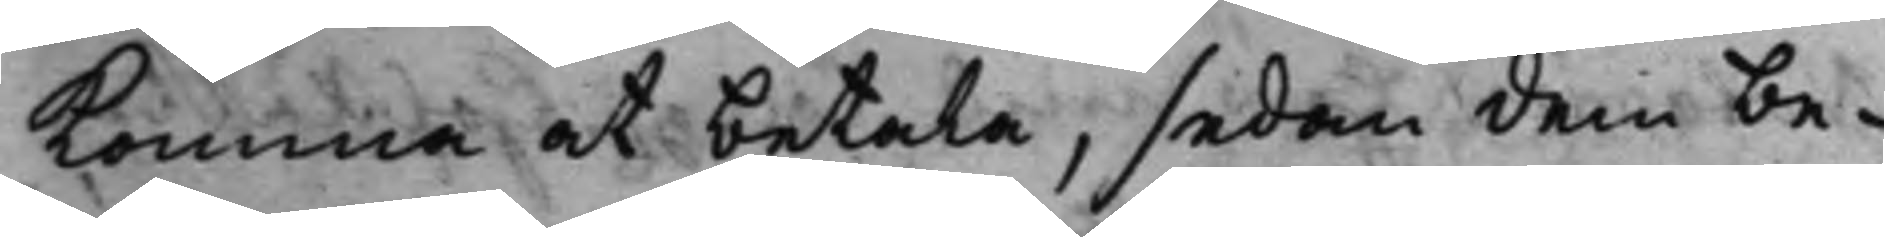komma at betala, sedan dem be¬
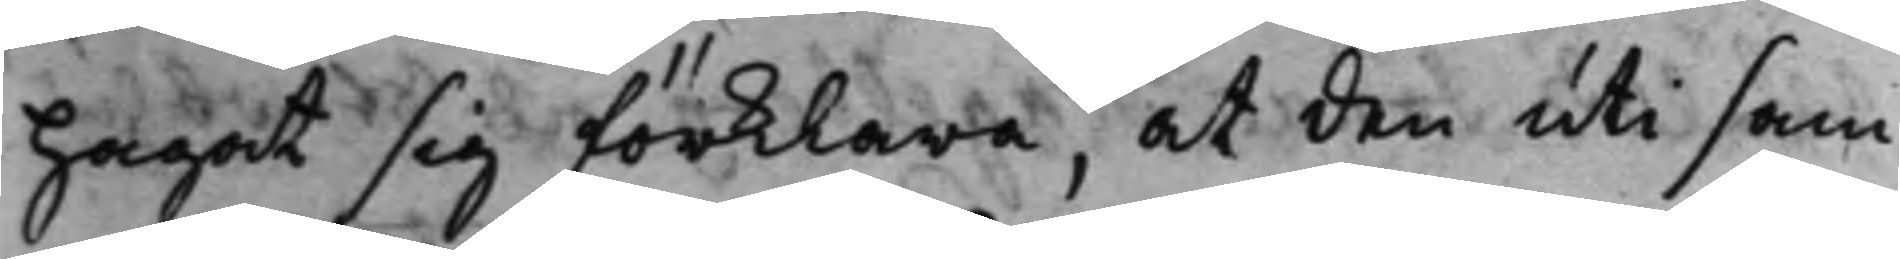hagat sig förklara, at den uti sam¬
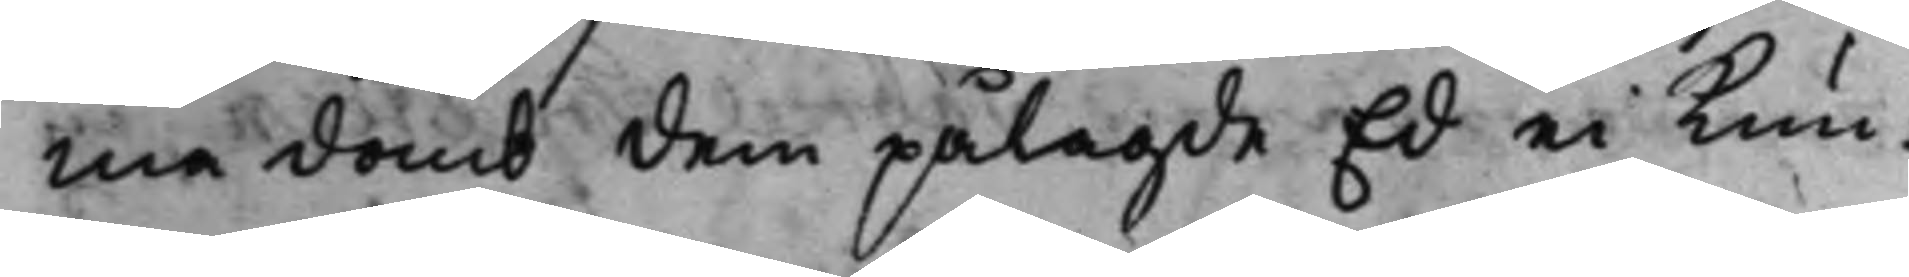ma domb dem pålagde Ed ei kun¬
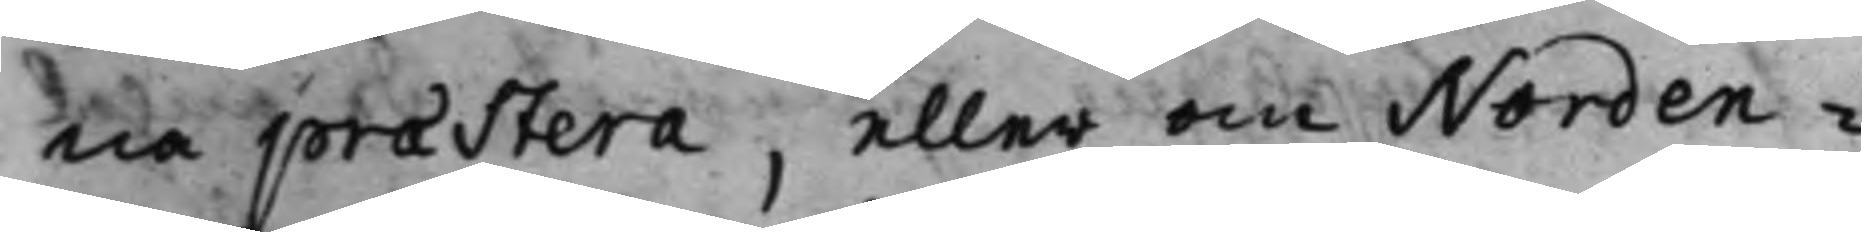na præstera, eller om Norden¬
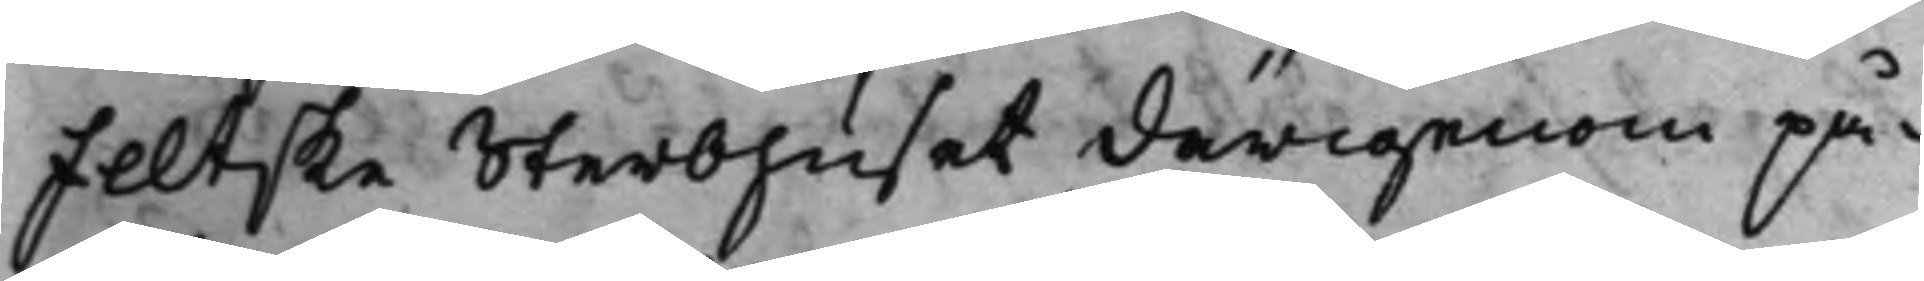feltske Sterbhuset därigenom på¬
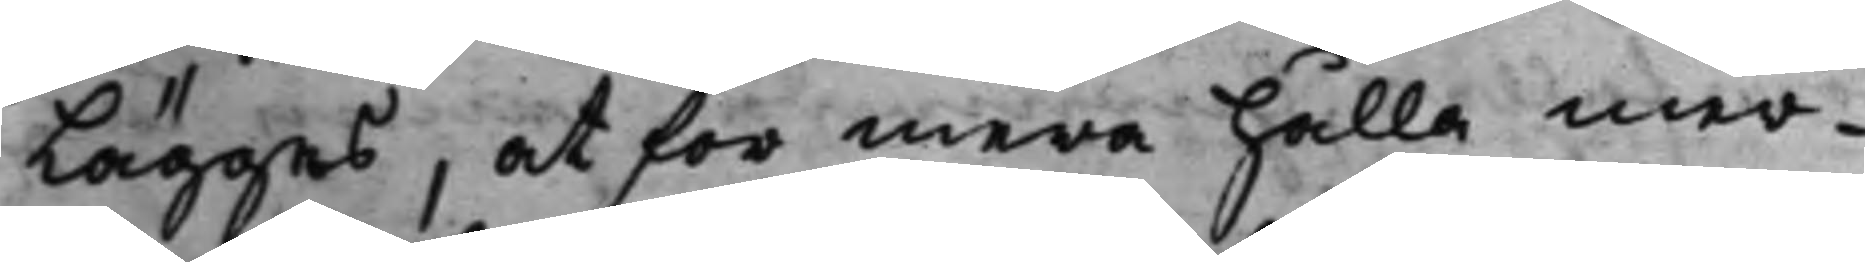lägges, at för mera hålla mer¬
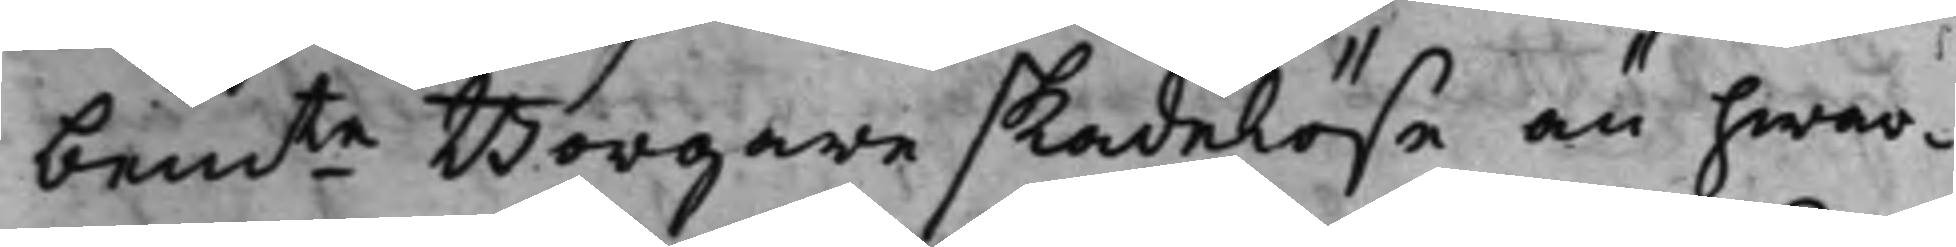bemte Borgare skadelöse än hwar¬
